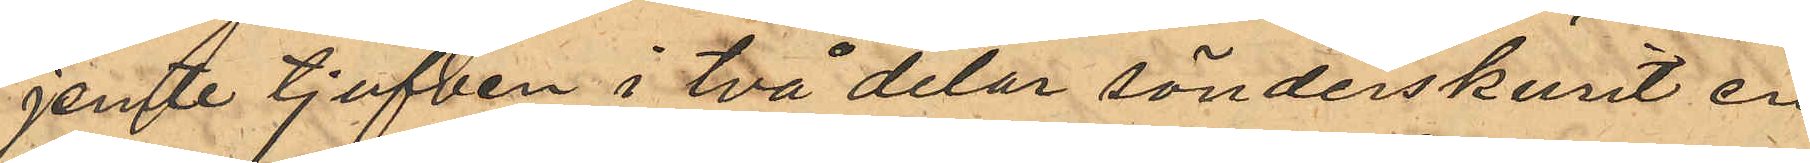jemte tjufven i två delar sönderskurit en
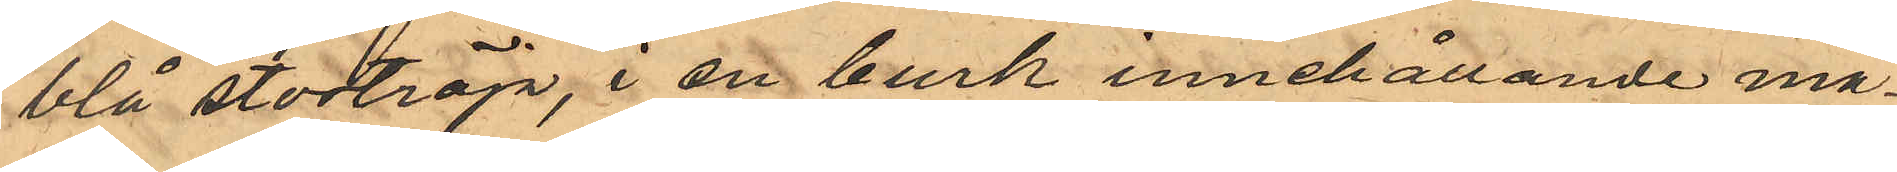blå stortröja, i en burk innehållande må¬
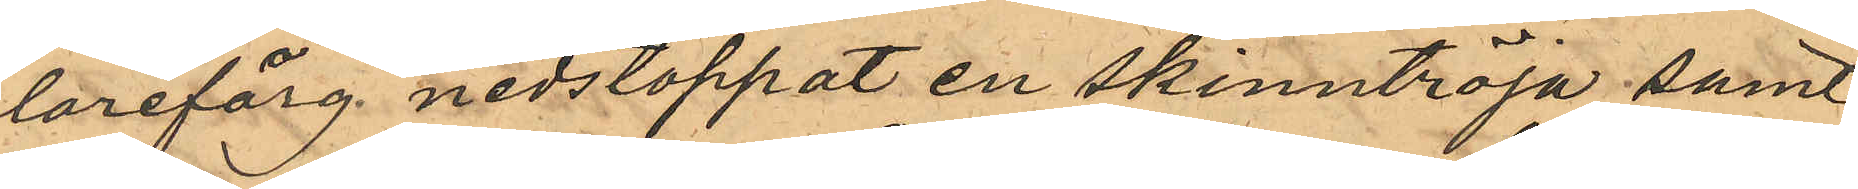larefärg nedstoppat en skinntröja samt
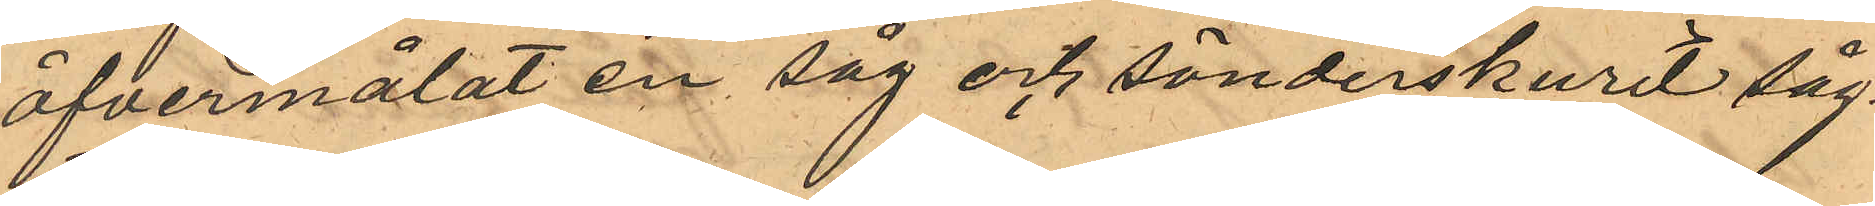öfvermålat en såg och sönderskurit såg¬
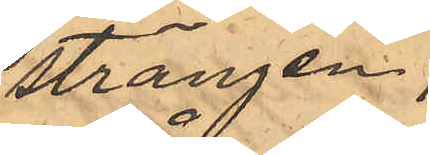strängen,
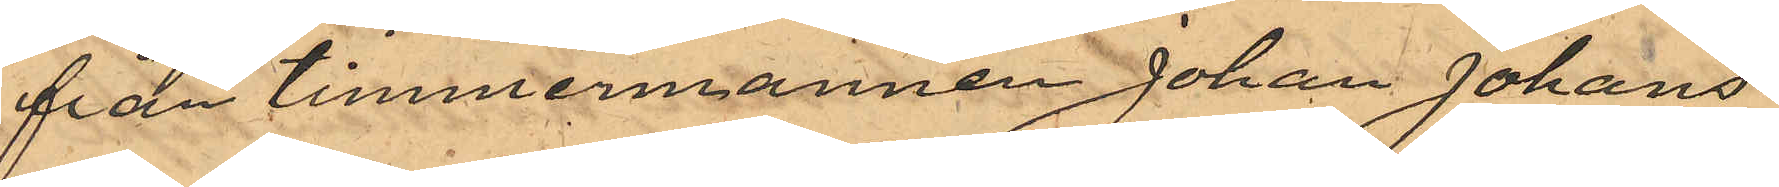från timmermannen Johan Johans¬
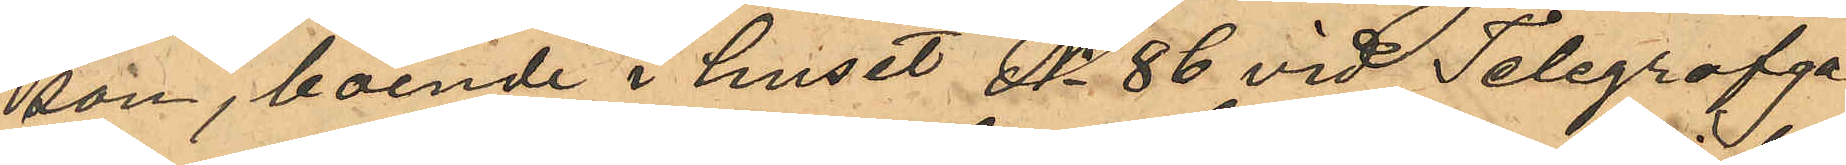son, boende i huset No 86 vid Telegrafga¬
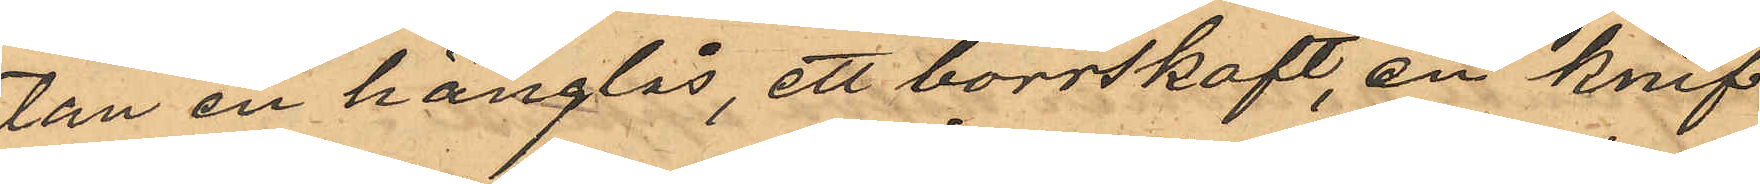tan en hänglås, ett borrskaft, en knif
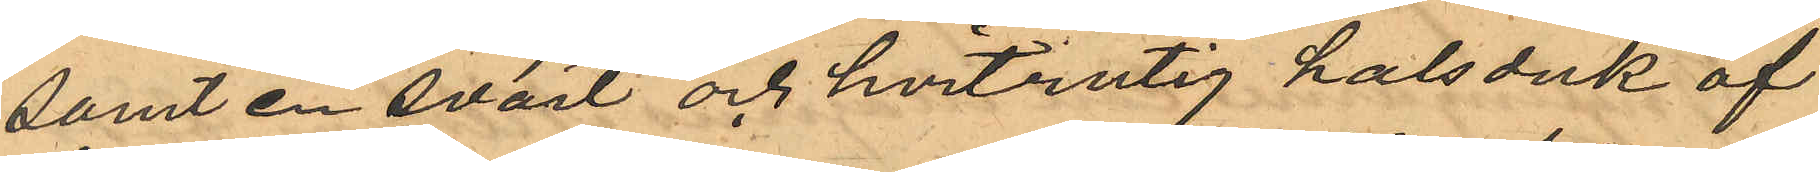samt en svart och hvitrutig halsduk af
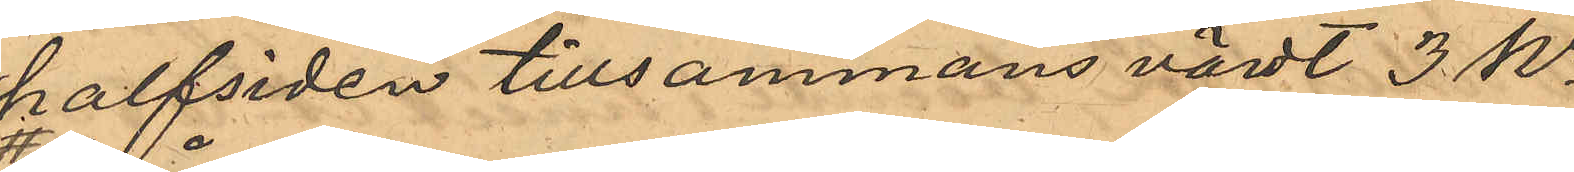halfsiden tillsammans värdt 3 Kr;
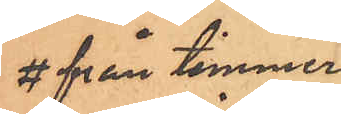# från timmer¬
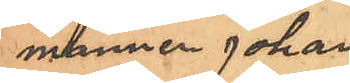mannen Johan
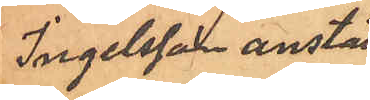Ingelsson anställd
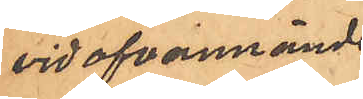vid ofvannämde
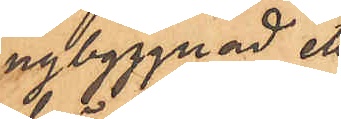nybyggnad ett
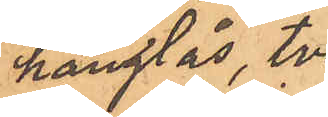hänglås, två
